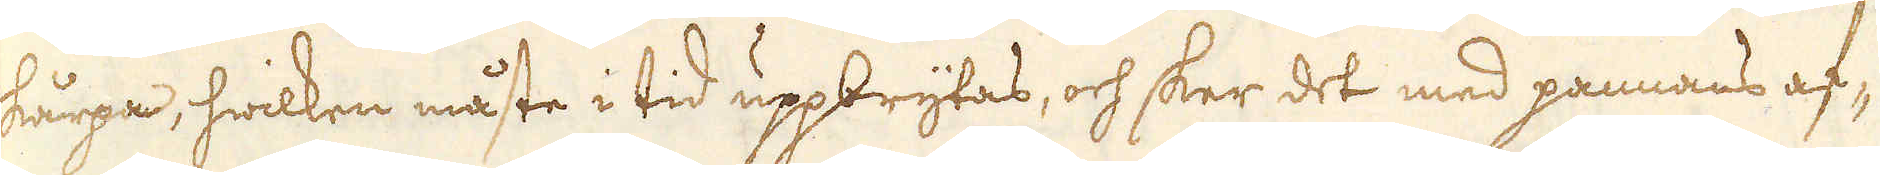skårpa, hwilken måste i tid uppbrytas, och sker det med pannans af-
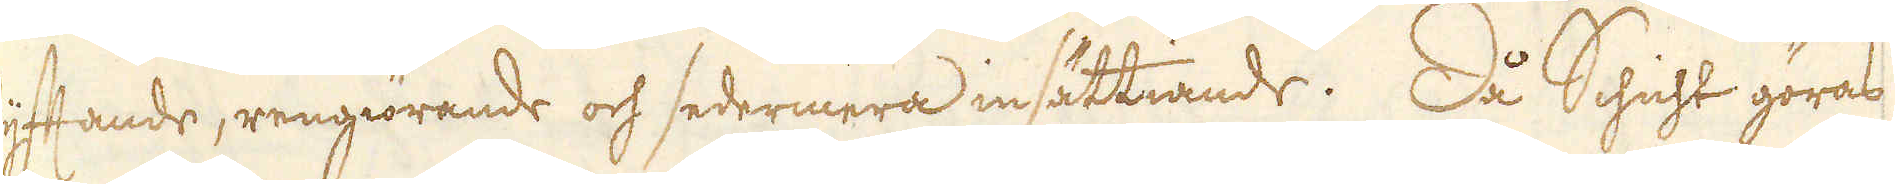lyfftande, rengiörande och sedermera insättiande. Då Schicht göras
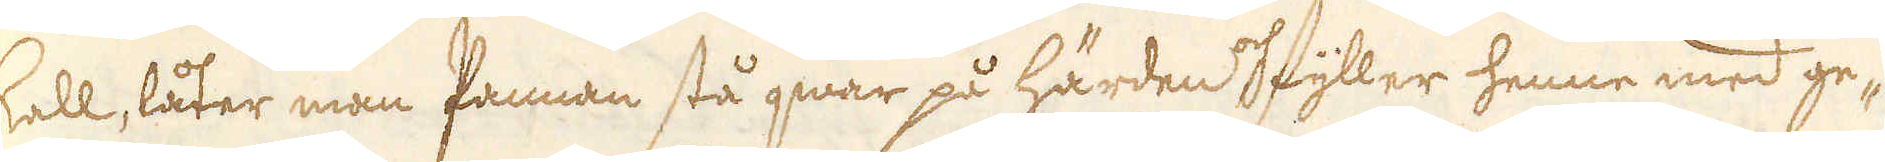skall, låter man Pannan stå qwar på härden och fyller henne med ge-
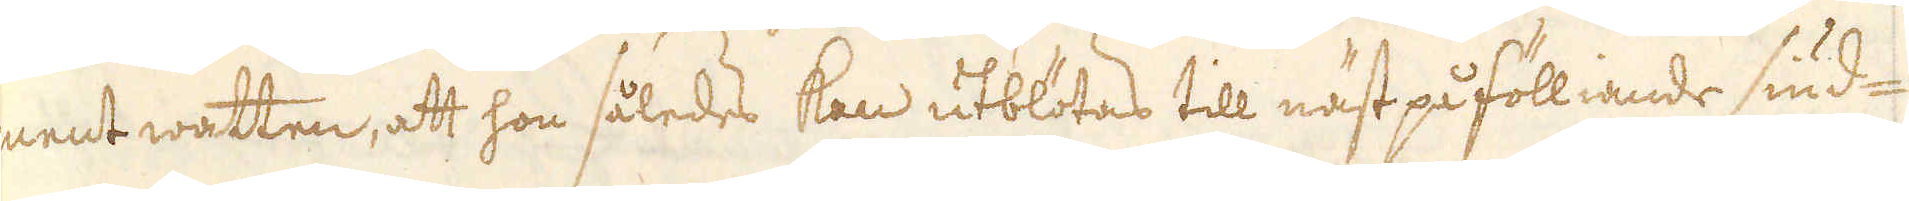ment watten, att hon således kan utblötas till näst på fölliande siud-
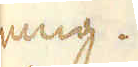ning.
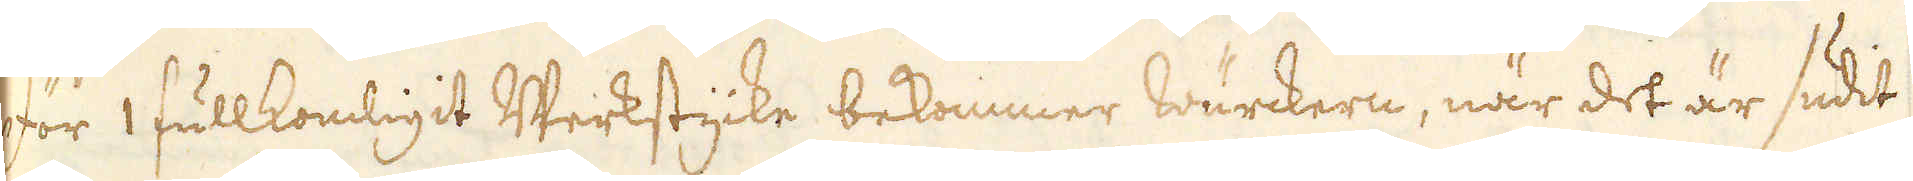För 1 fullkomligit Werkstycke bekommer wärckern, när det är sudit
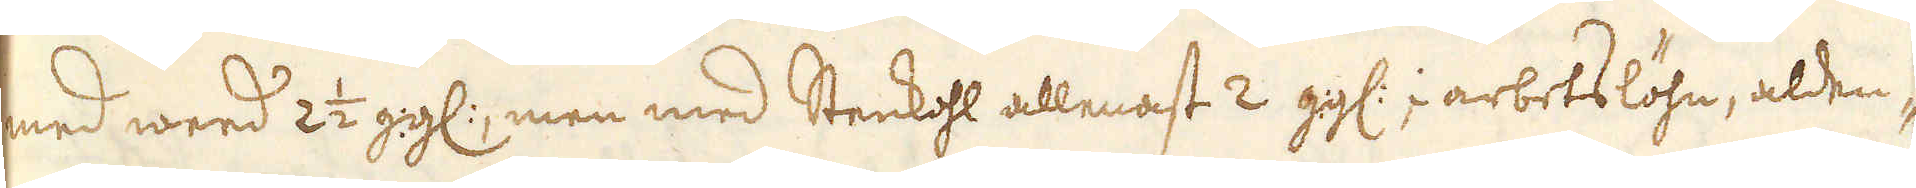med weed 2 1/2 gg:, men med Stenkohl allenast 2 gg: i arbetslöhn, alden-
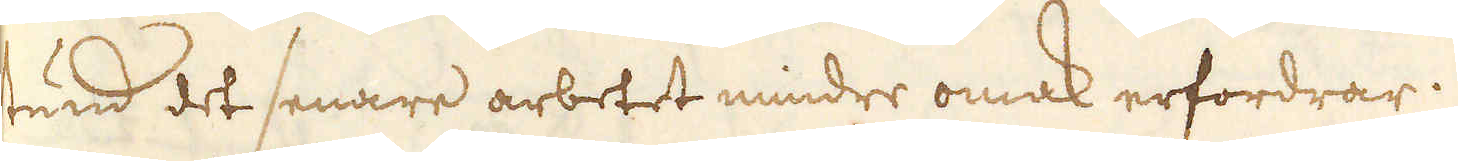stund det senare arbetet mindre omak erfordrar.
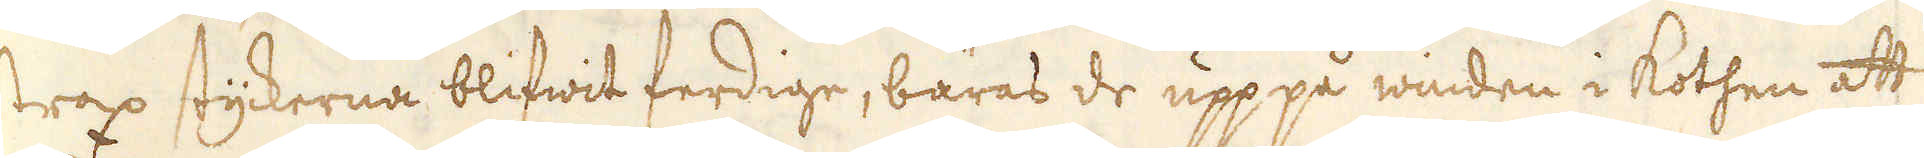Strax styckerna blifwit ferdige, bäras de upppå winden i Kothen att
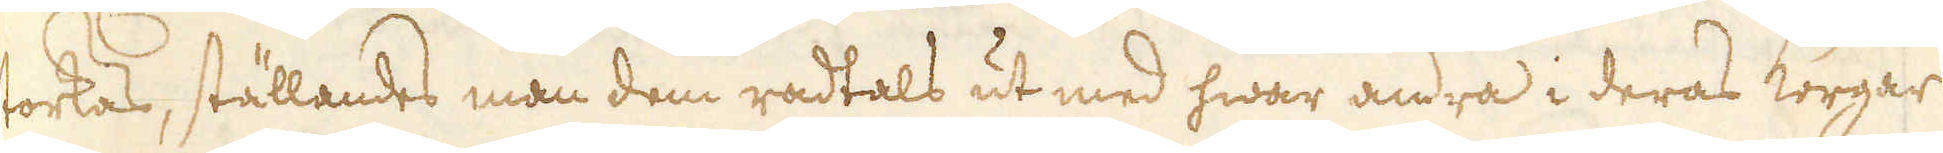torkas, ställandes man dem radtals ut med hwar andra i deras Korgar
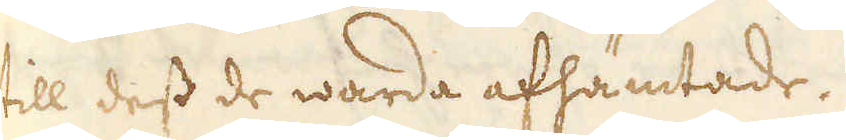till dess de warda afhämtade.
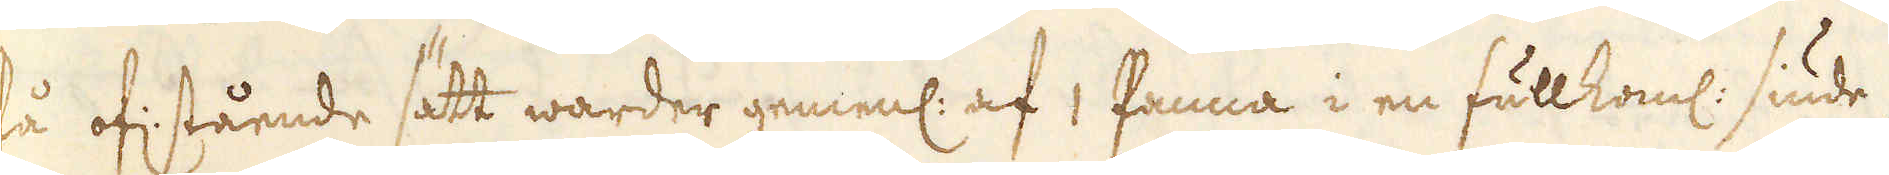På of: stående sätt warder genenl: af 1 Panna i en fullkoml: siude-
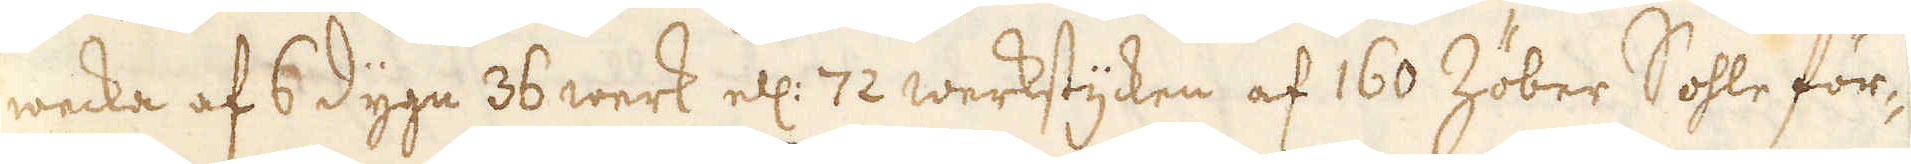wecka af 6 dygn 38 werk ell: 72 werkstycken af 160 Zöber Sohle för-
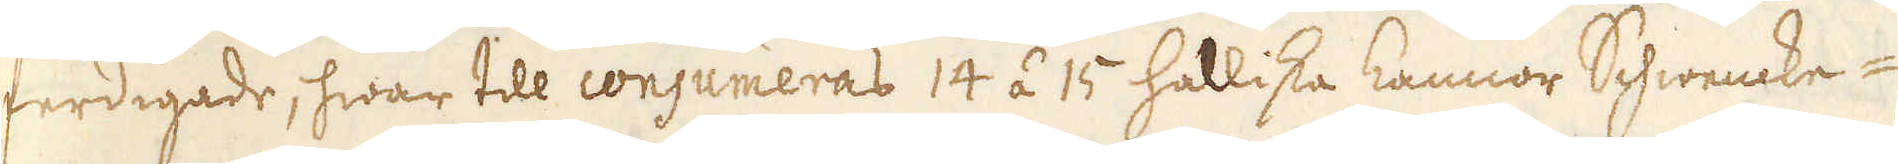ferdigade, hwar till consumeras 14 á 15 Halliska kannor Schwencke-
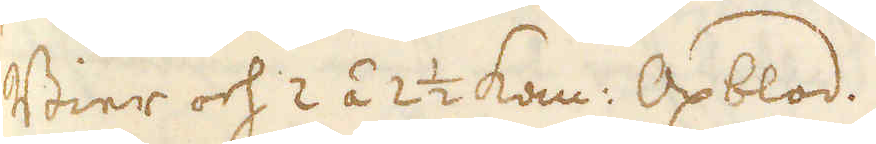Bier och 2 á 2 1/2 kan: Oxblod.
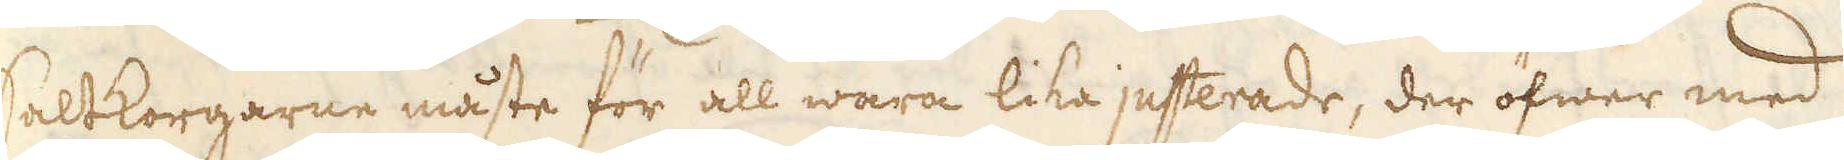Saltkorgarne måste för all wara lika justerade, der öfwer med
